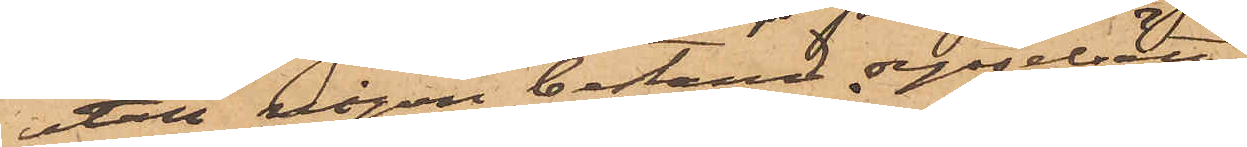utan någon bestämd sysselsätt¬
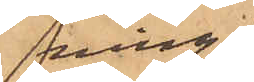ning,
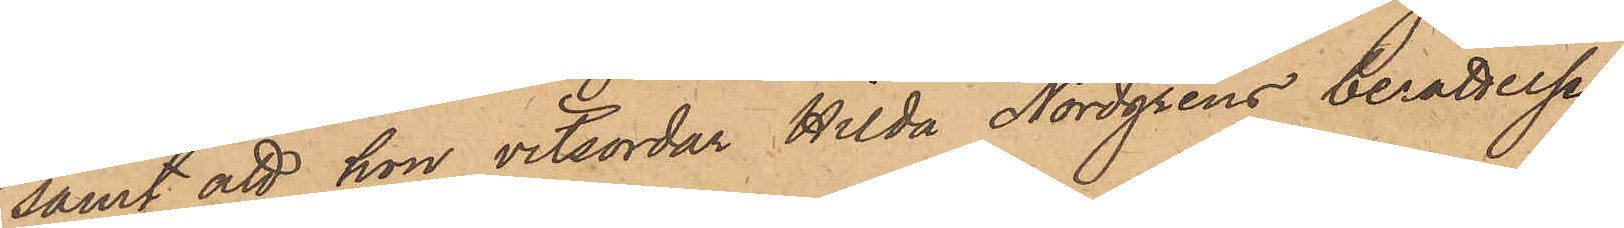samt att hon vitsordar Hilda Nordgrens berättelse
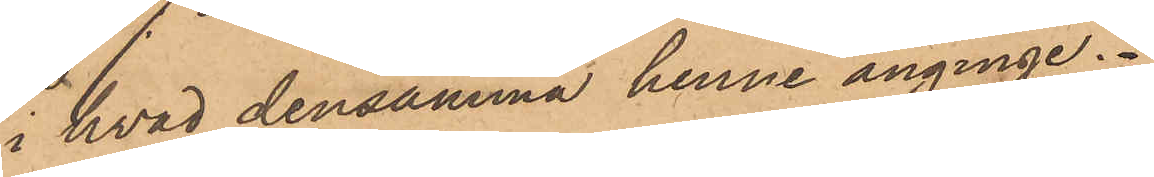i hvad densamma henne anginge.
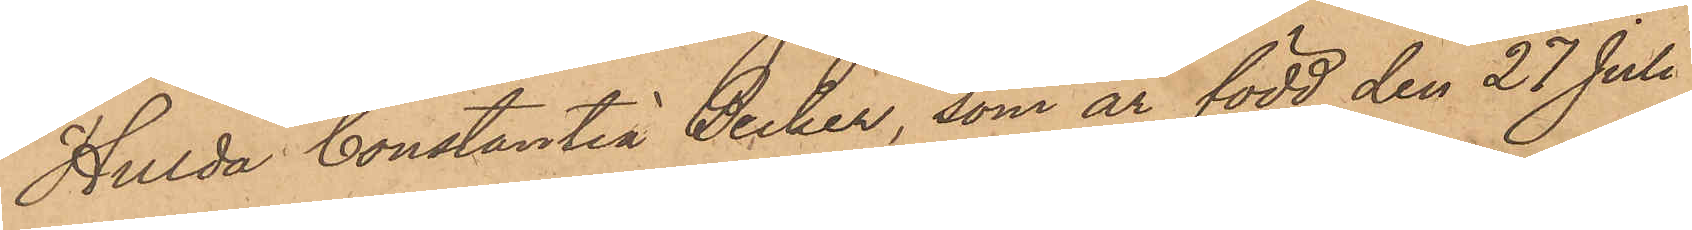Hulda Constantia Becker, som är född den 27 Juli
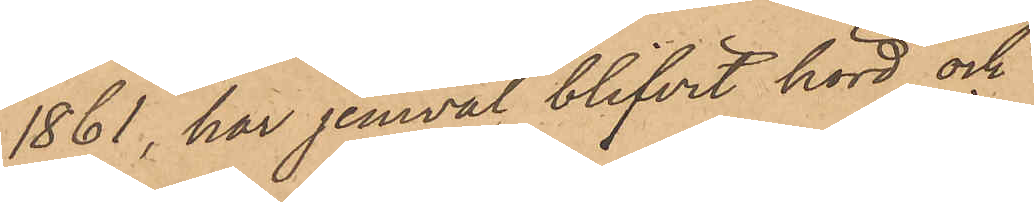1861, har jemväl blifvit hörd och
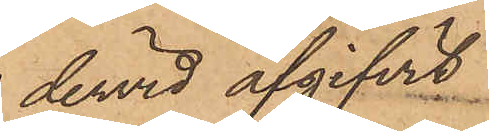dervid afgifvit
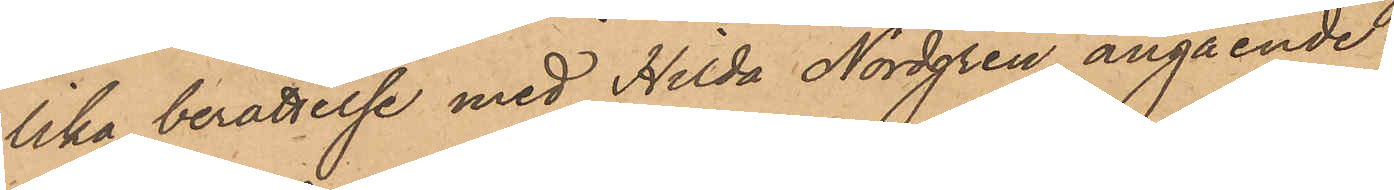lika berättelse med Hilda Nordgren angående
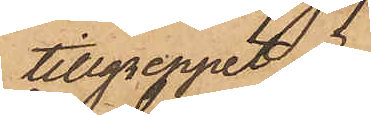tillgreppet
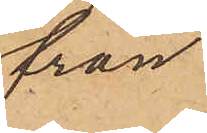från
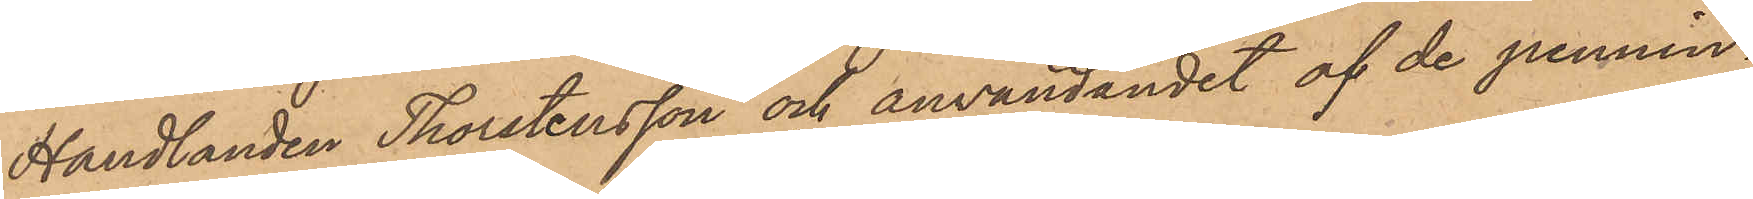Handlanden Thorstensson och användandet af de pennin¬
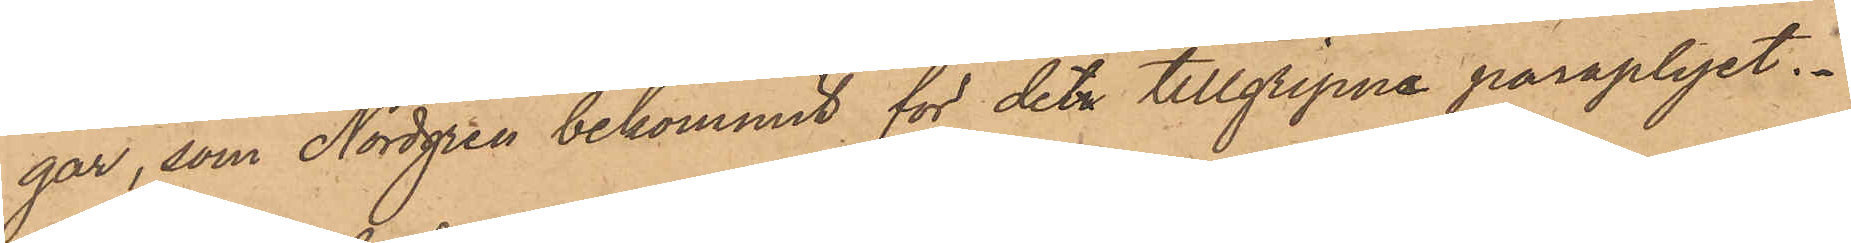gar, som Nordgren bekommit för det tillgripne paraplyet.
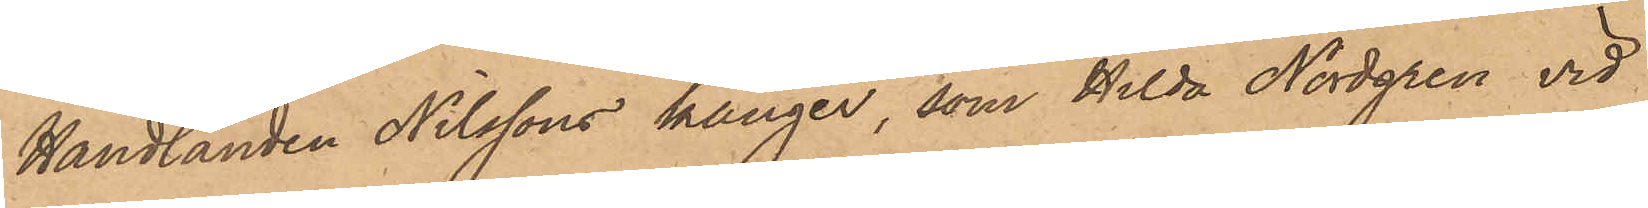Handlanden Nilssons känger, som Hilda Nordgren vid
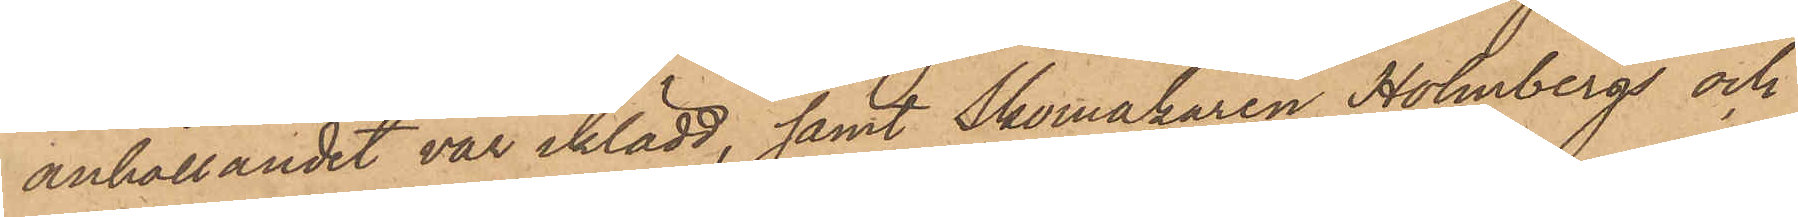anhållandet var iklädd, samt Skomakaren Holmbergs och
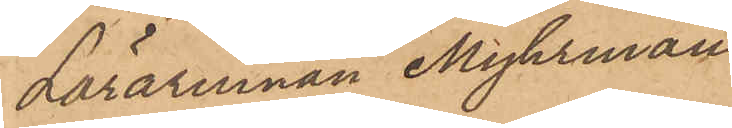Lärarinnan Myhrman
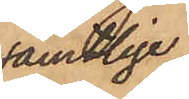samtlige
